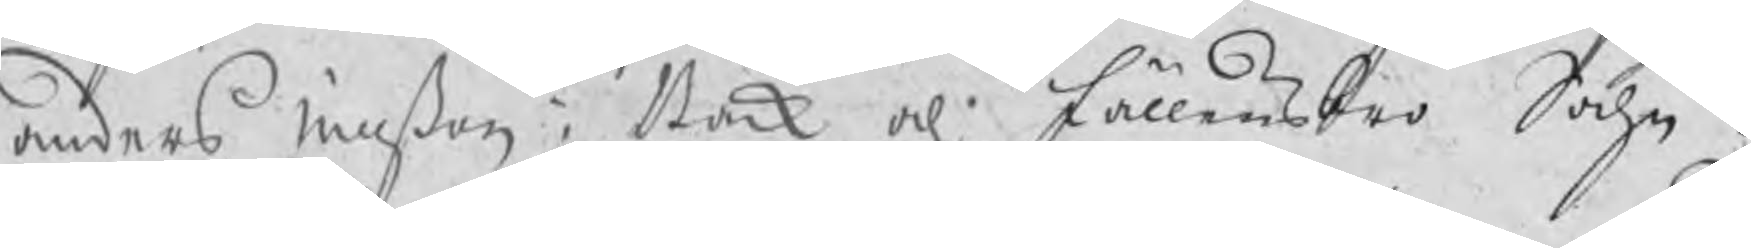anders nillßon i Bäck och Fällensbro Sochn.
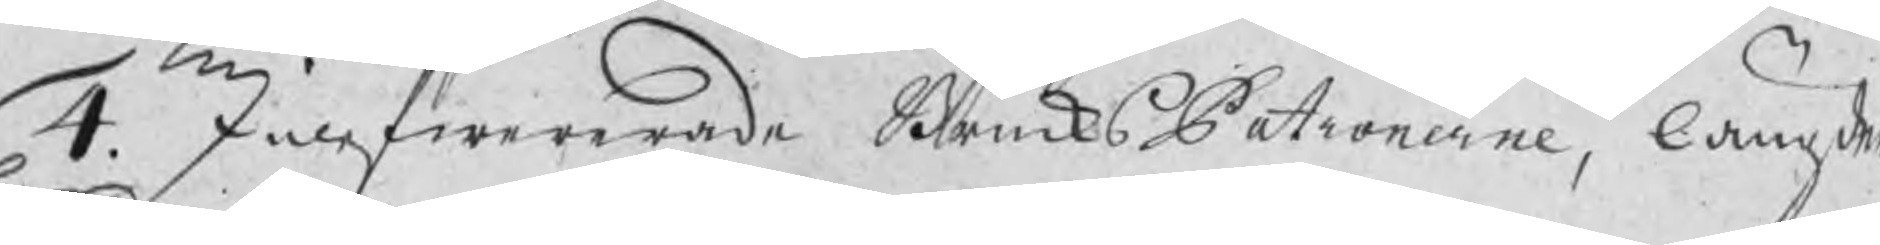4. Inlefwererade BruksPatronerne, längder
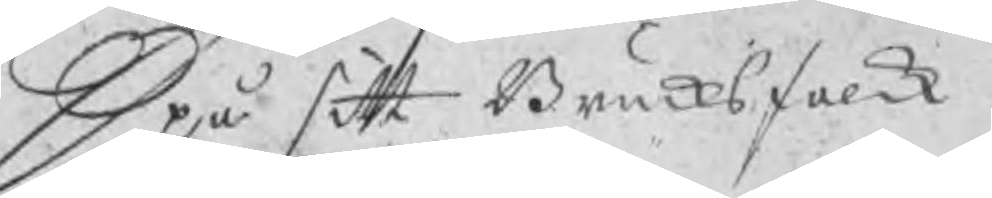Opå sitt Bruksfolk.
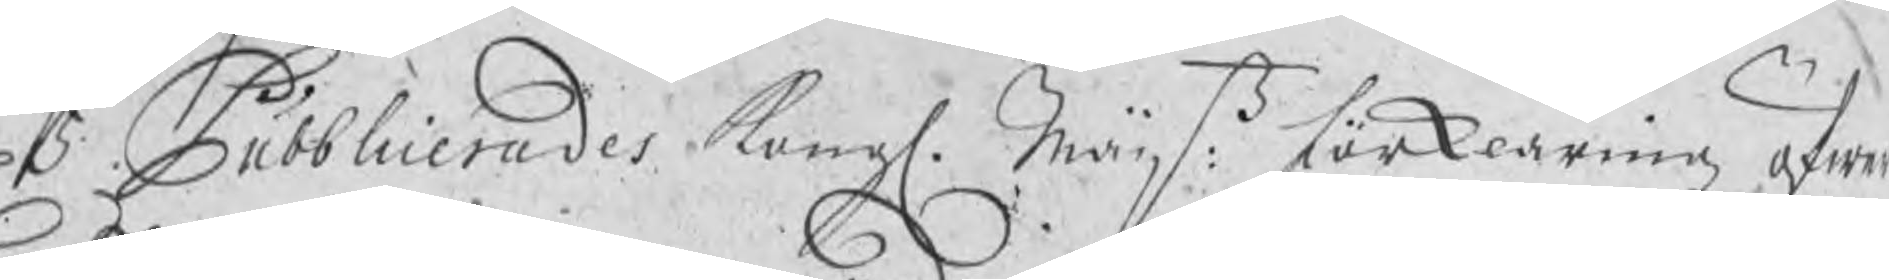5 Pubblicerades Kongl. Maijtz: förklaring öfwer
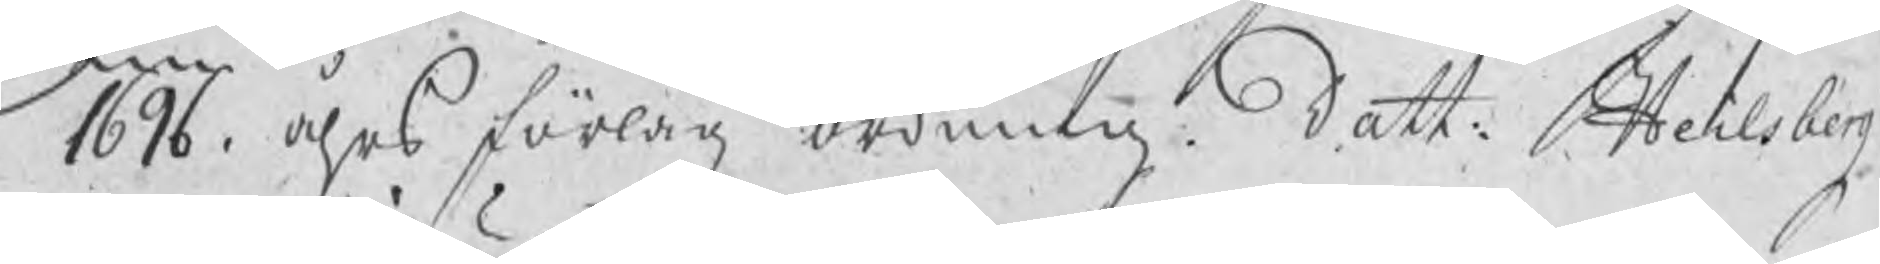1696. åhrs förlagz ordning datt. Heilsberg
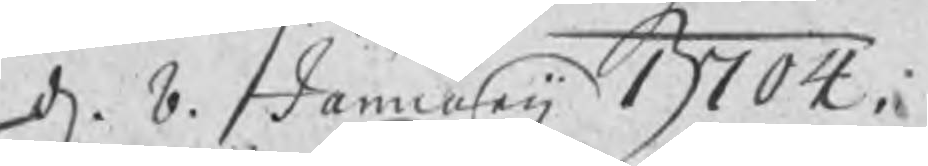d. 8 Januarij 1704.
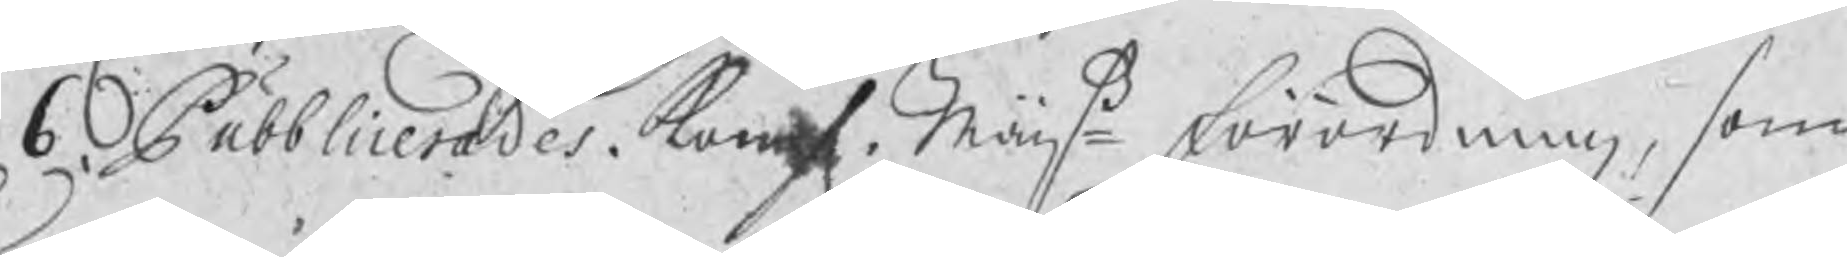6. Pubblicerades Kongl. Maijtz förordning, som
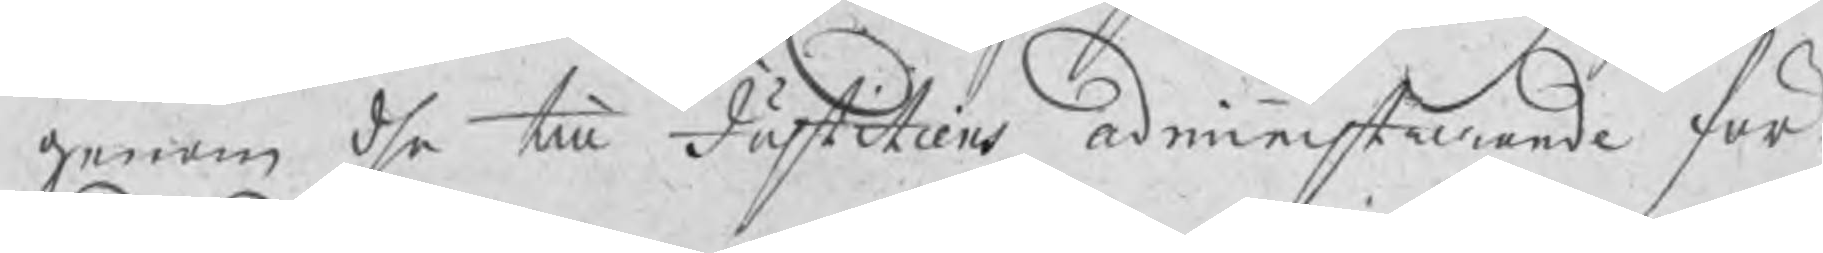genom dhe till Justitiens administrerande för¬
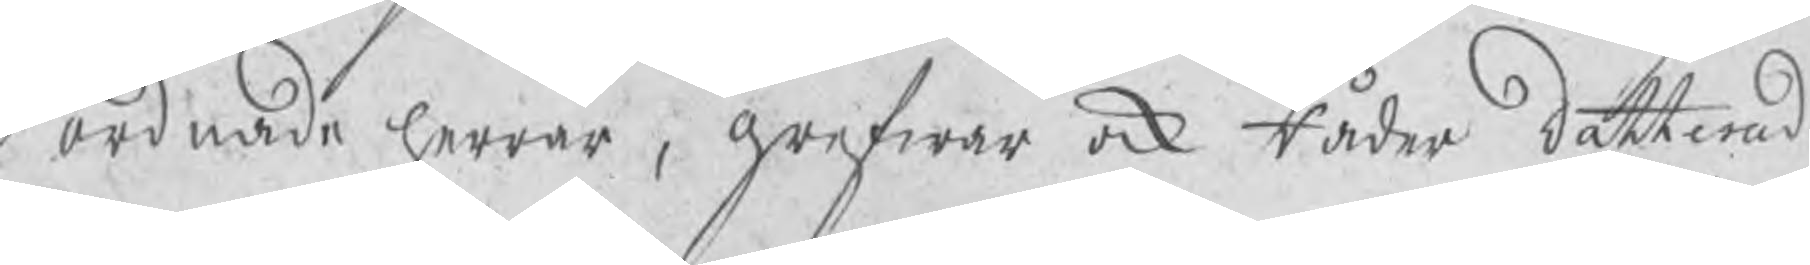ordnade herrar, grefwar ock Råder datterad
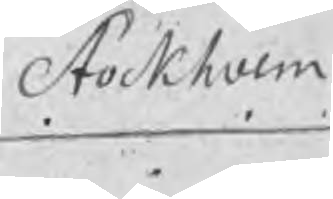Stockholm
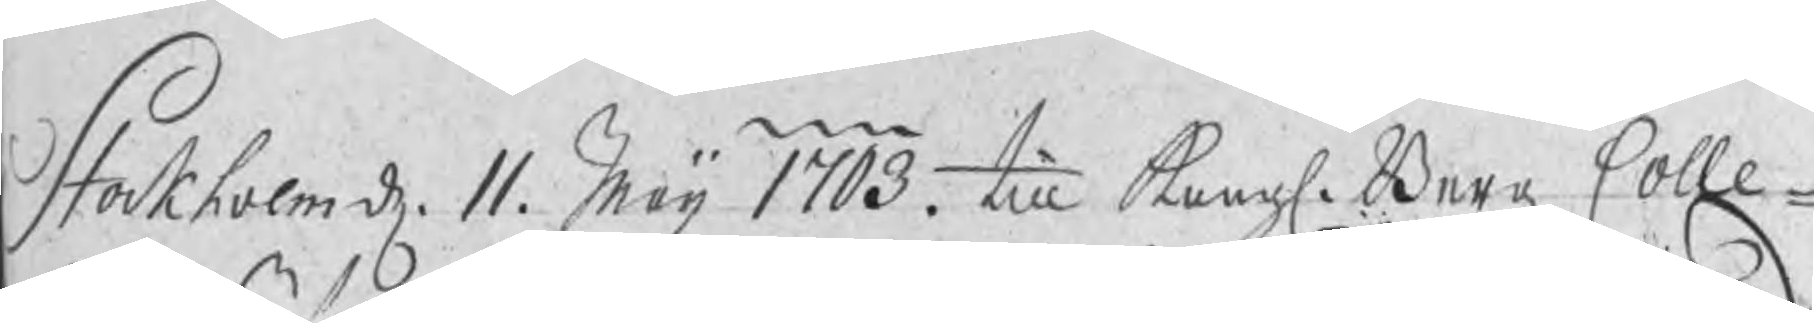Stockholm d. 11. Maij 1703. till Kongl. Bergz Colle¬
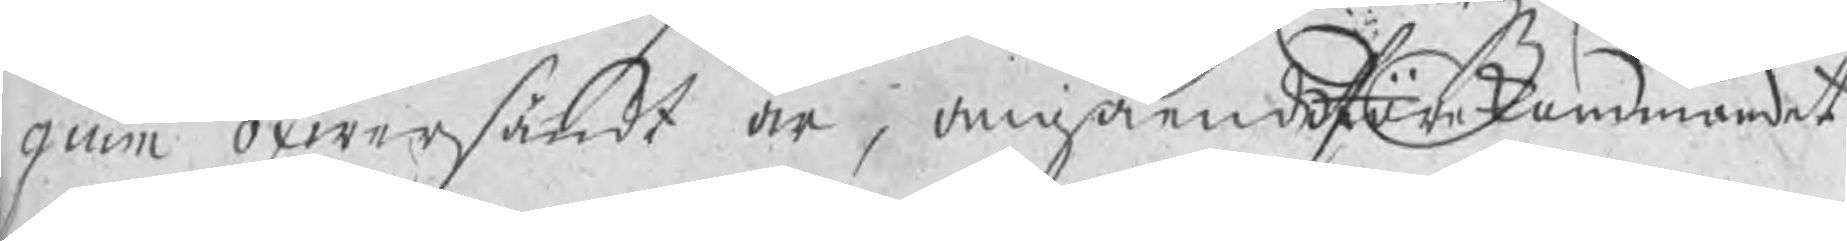gium öfwersändt är, angående förekommandet
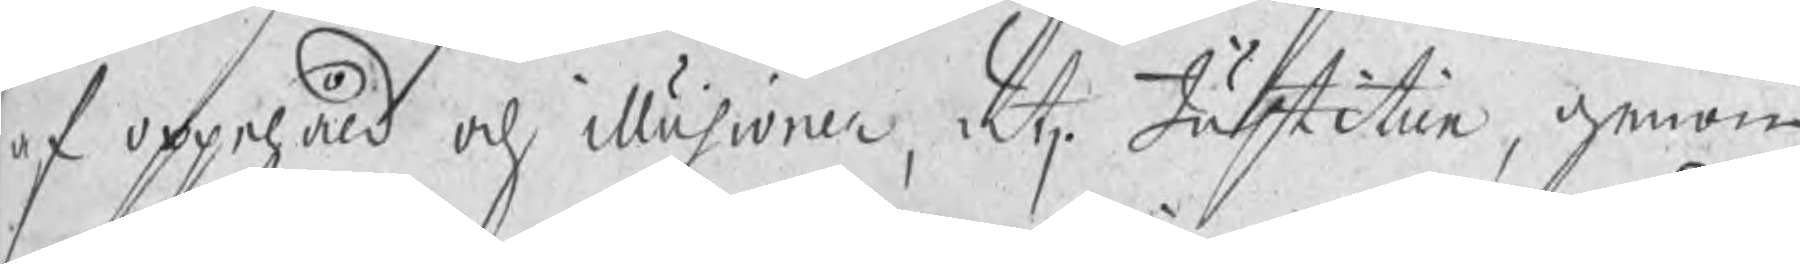af oppehåld och illusioner, utj Justitien, genom
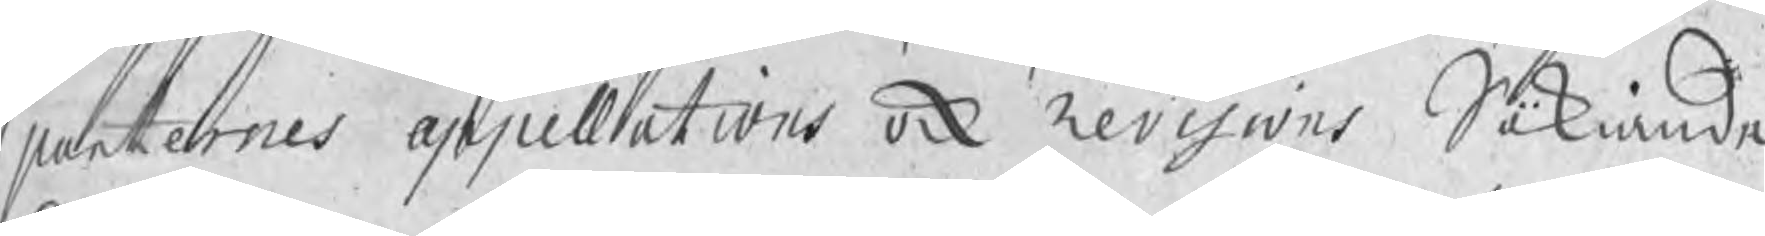parternes appellations ock Revisions Sökiande
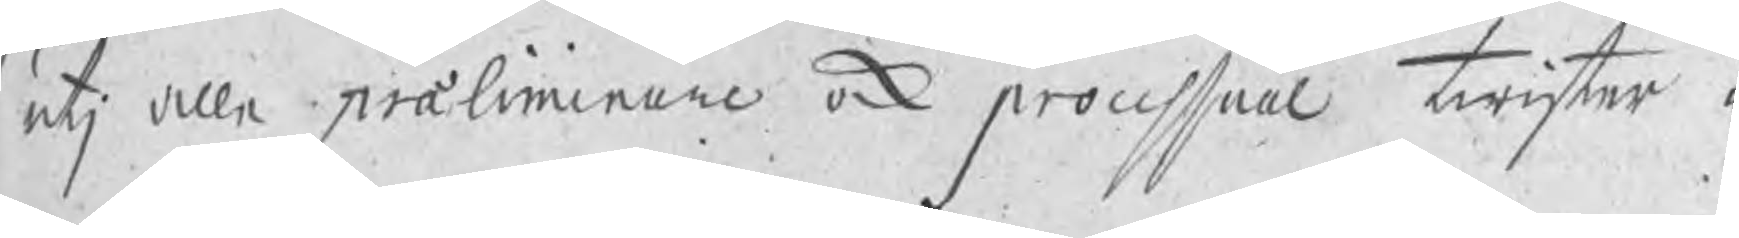utj alle præliminare ock processual twister i
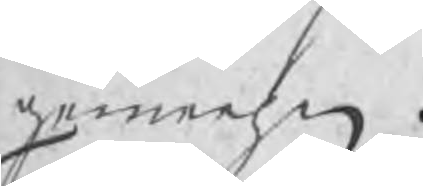gemehn.
